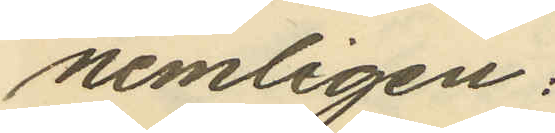nemligen:
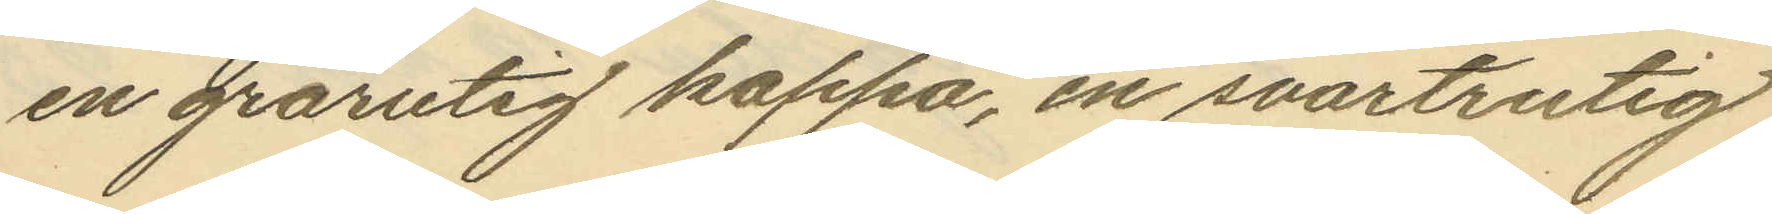en grårutig kappa, en svartrutig
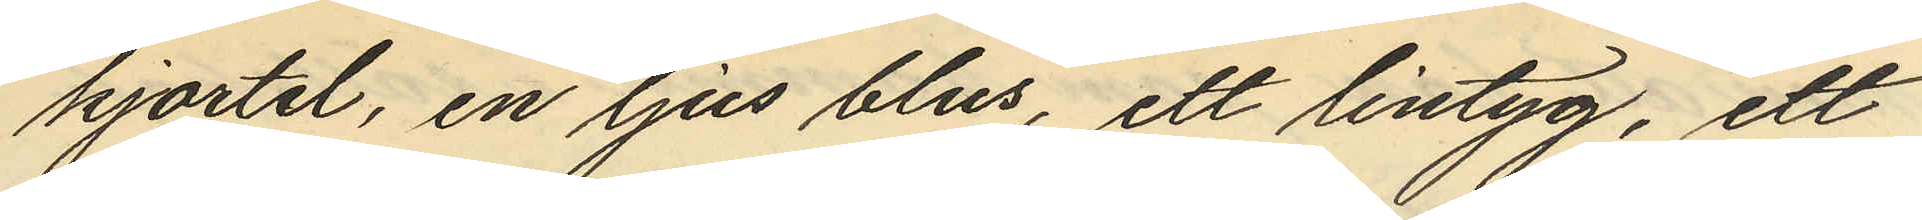kjortel, en ljus blus, ett lintyg, ett
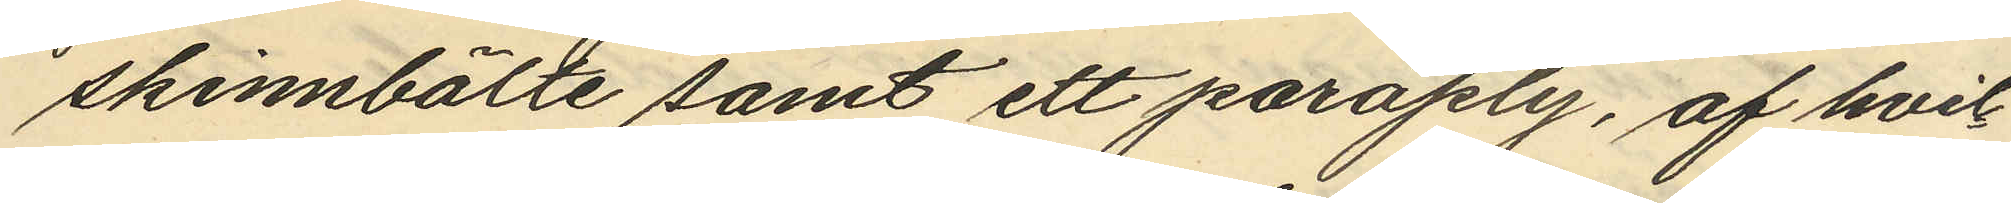skinnbälte samt ett paraply, af hvil¬
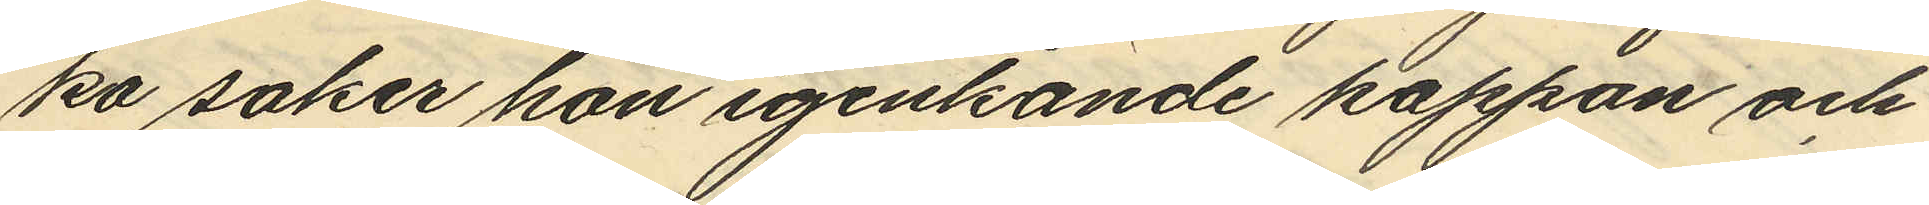ka saker hon igenkände kappan och
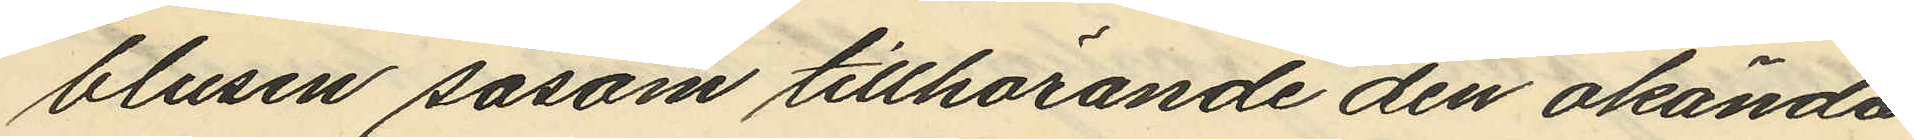blusen såsom tillhörande den okända
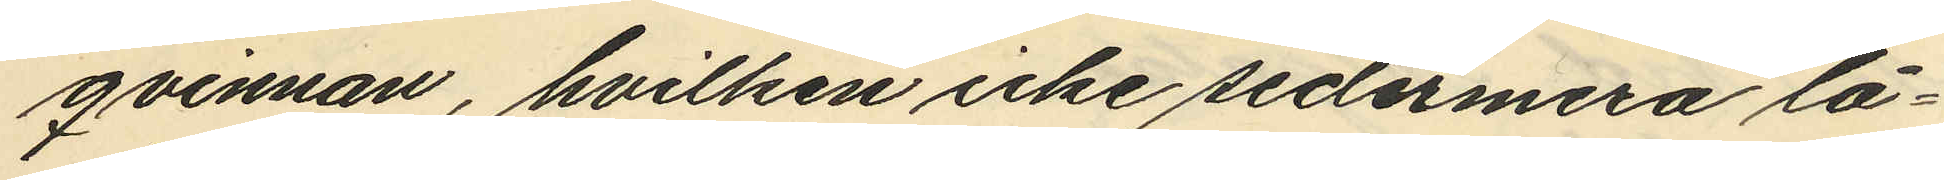qvinnan, hvilken icke sedermera lå¬
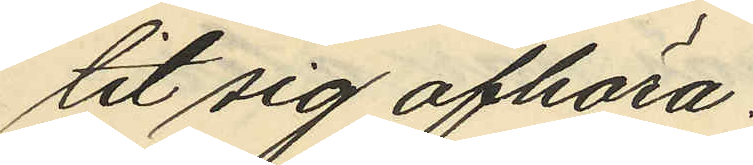tit sig afhöra.
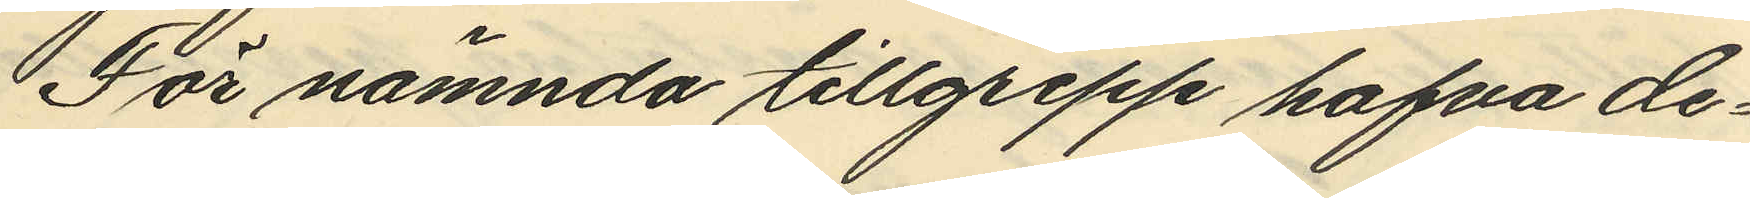För nämnda tillgrepp hafva de¬
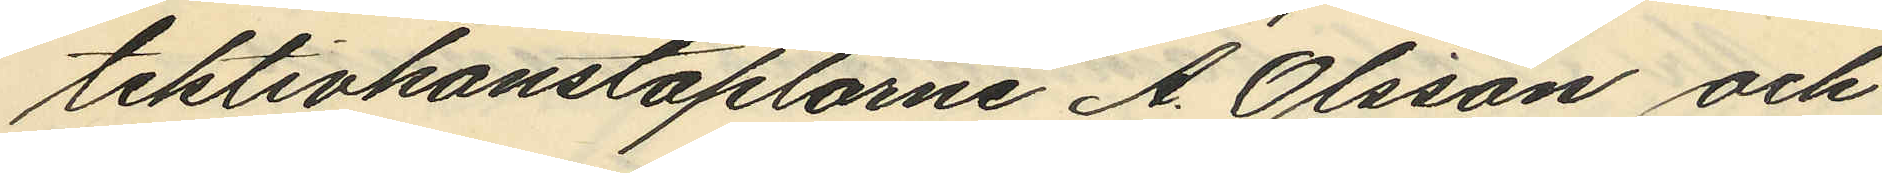tektivkonstaplarne A. Olsson och
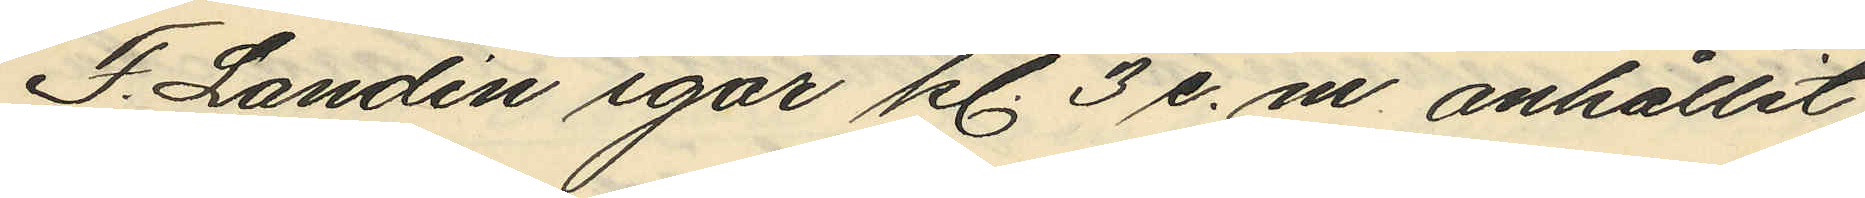F. Landin igår kl. 3 e. m. anhållit
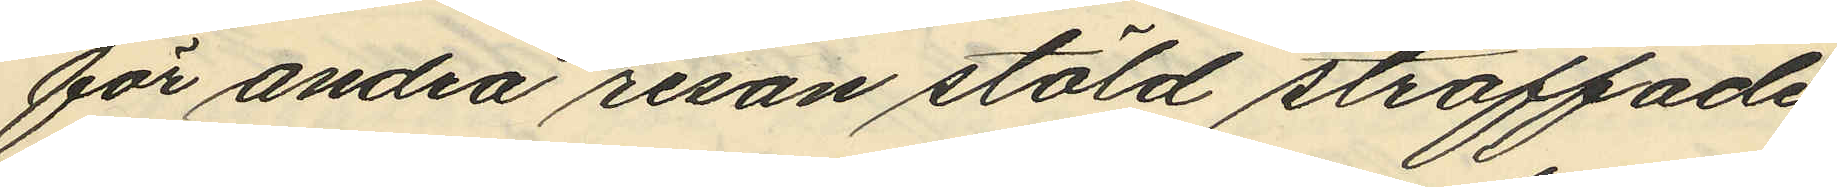för andra resan stöld straffade
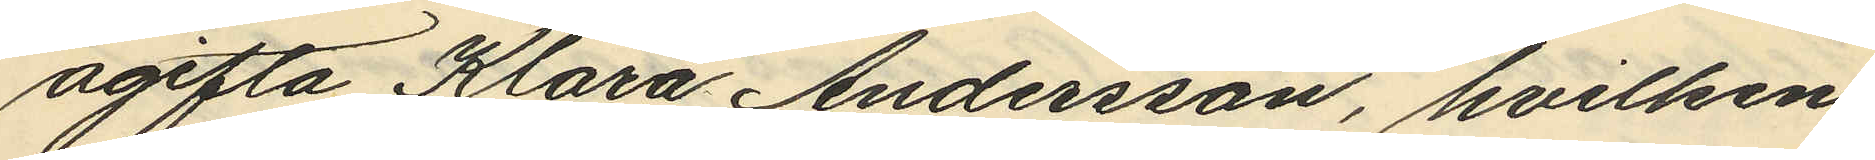ogifta Klara Andersson, hvilken
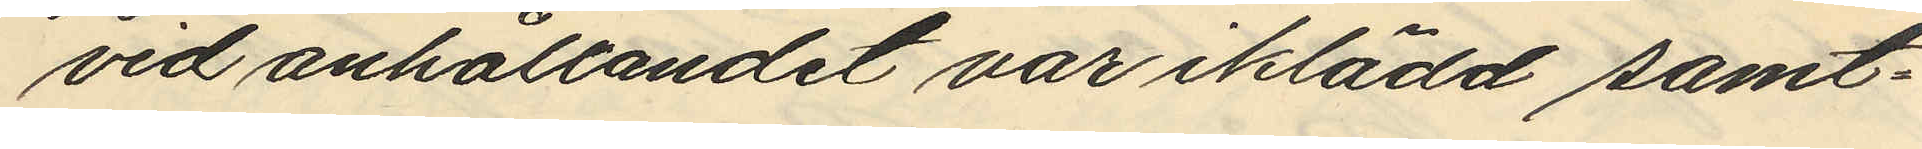vid anhållandet var iklädd samt¬
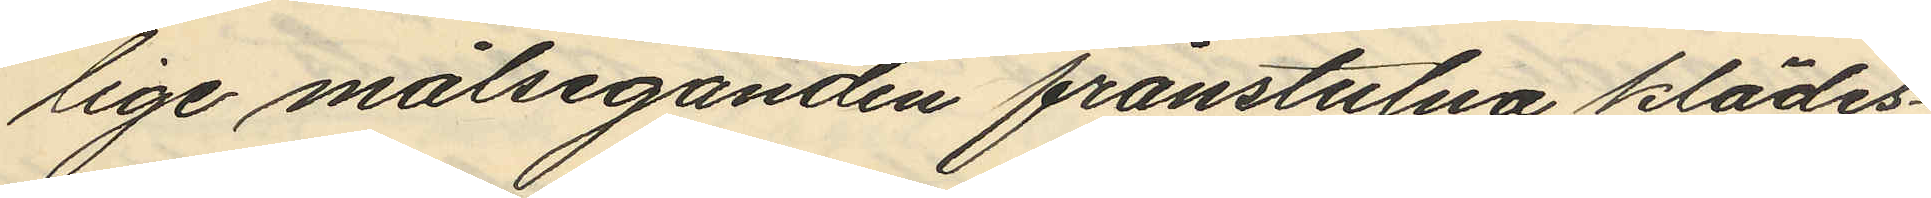lige målseganden frånstulna klädes¬
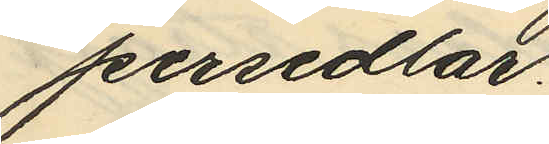persedlar.
